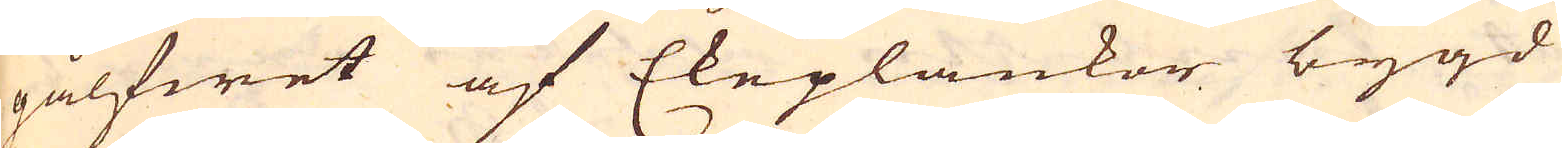gålfwet af Ekeplankor bygd
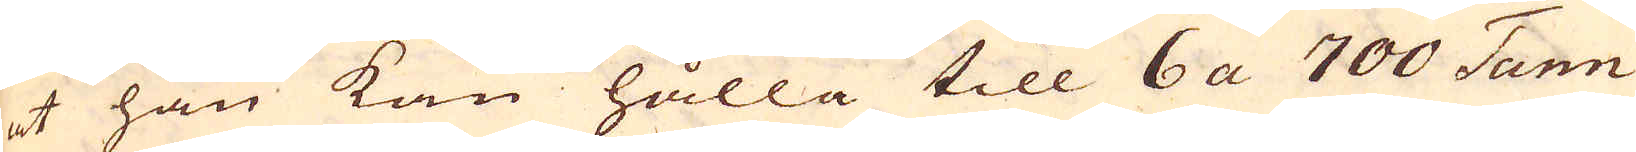et han kan hålla till 6 a 700 Tunn
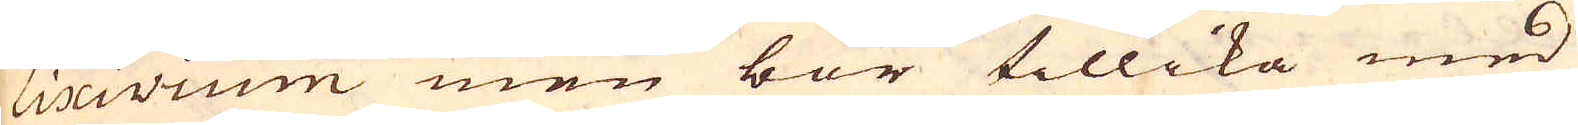Lixivium men bör tillika med
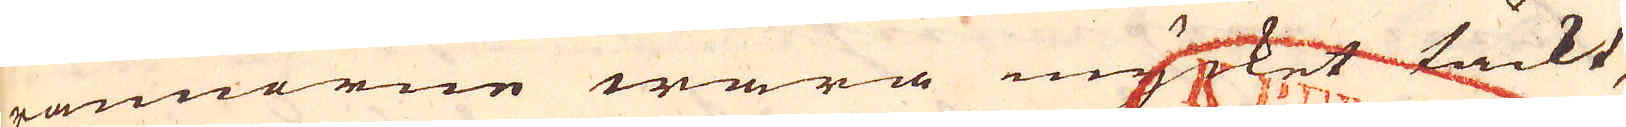rännorne wara mycket täckt,
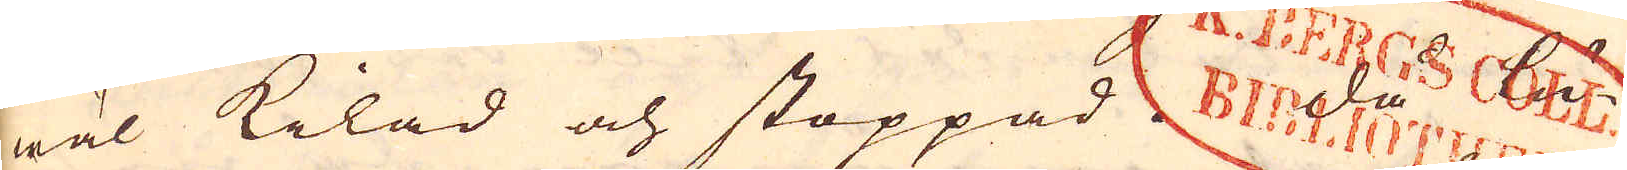wäl kilad och stoppad. Då lu-
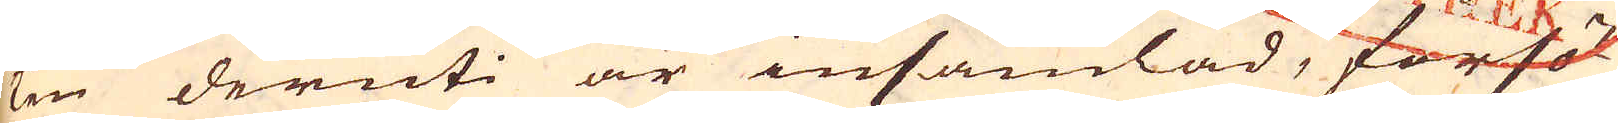ten deruti är insamlad, försö-
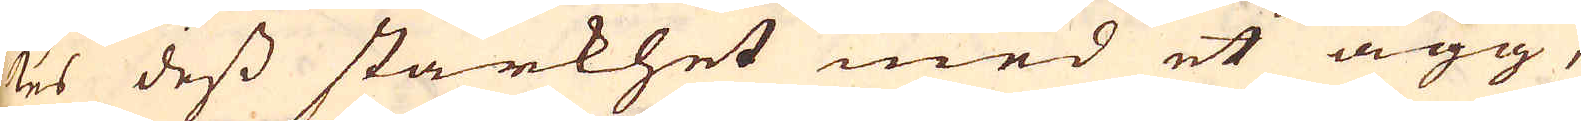kes dess starkhet med et ägg,
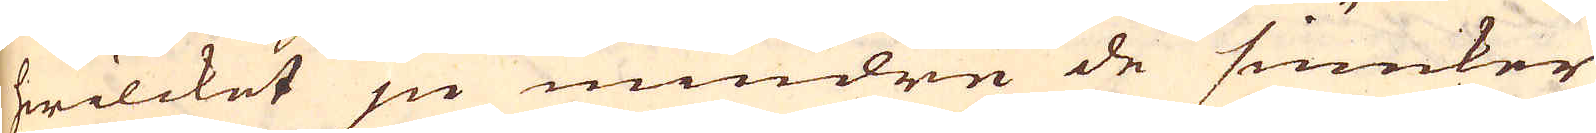hwilcket ju mindre de siunker
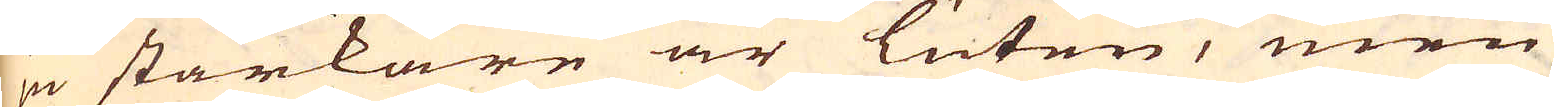ju starkare är luten, men
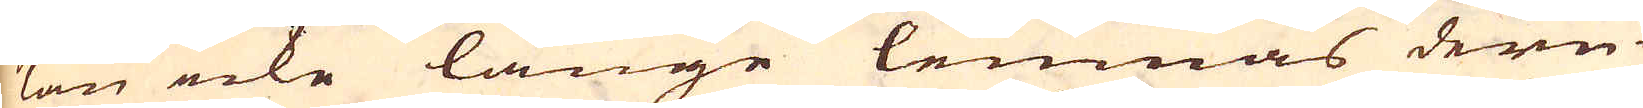kan icke länge lemnas deru-
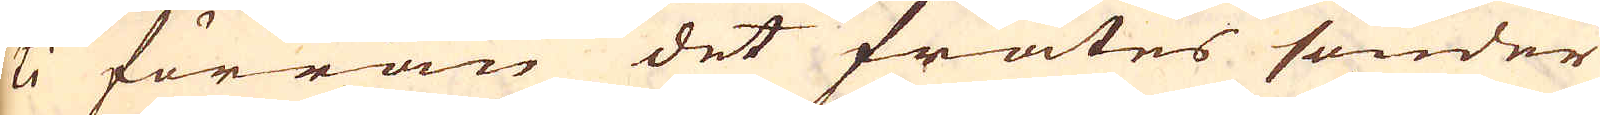ti förrän det frätes sönder
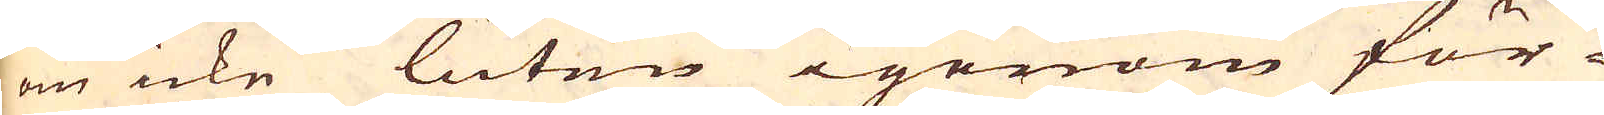om icke luten igenom för-
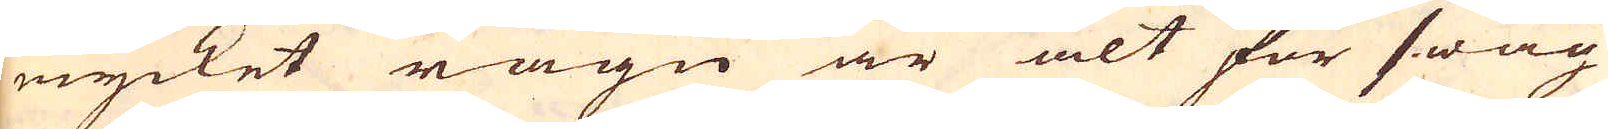mycket rägn är alt för swag
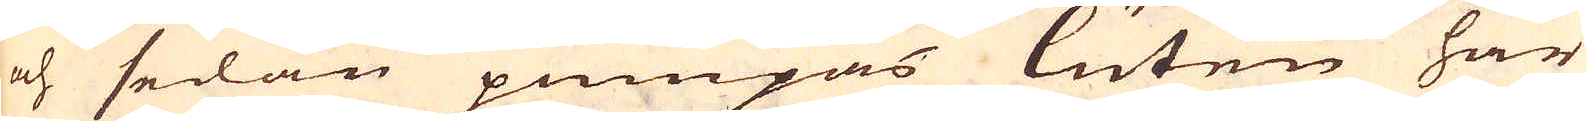och sedan pumpas luten här
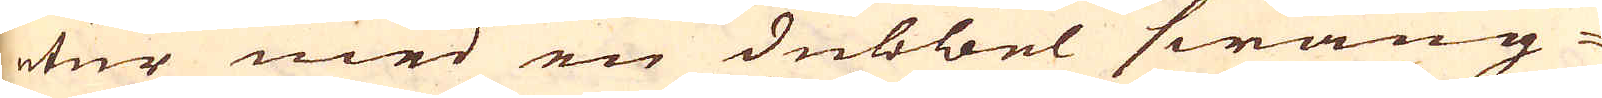utur med en dubbel swäng-
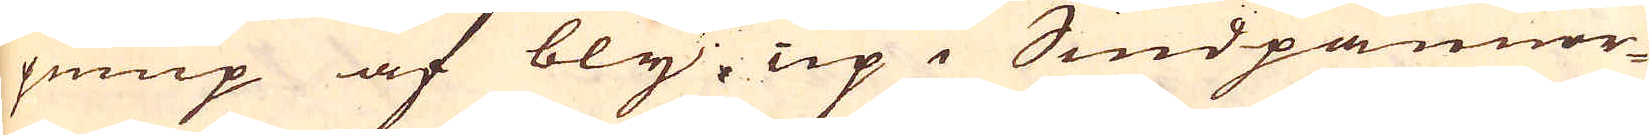pump af bly, up i Siudpannor-
